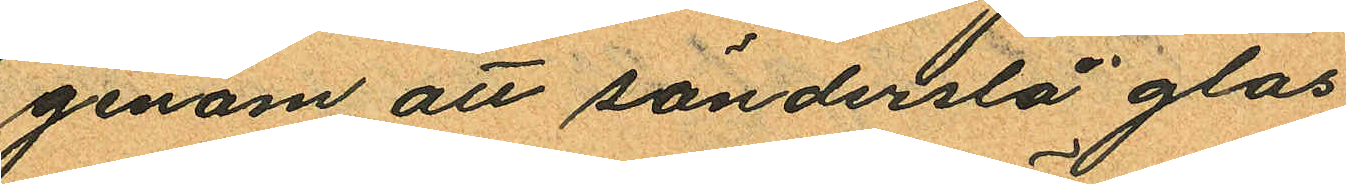genom att sönderslå glas
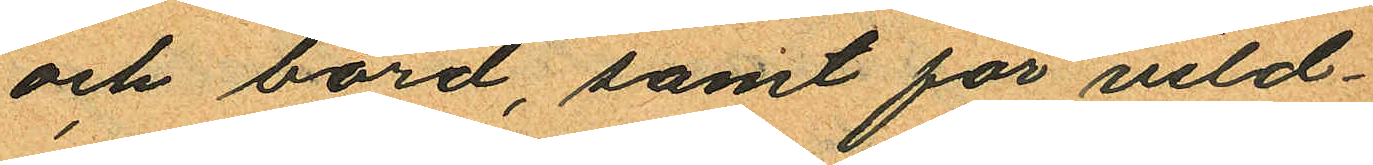och bord, samt för vild¬
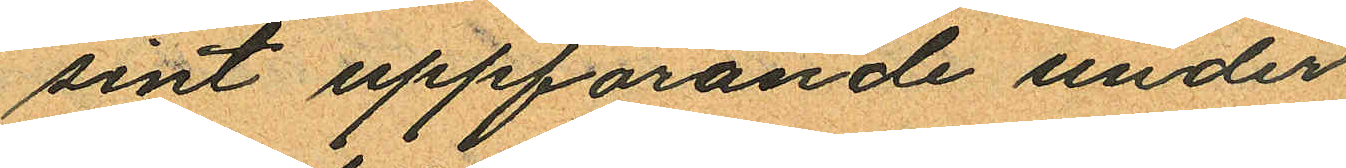sint uppförande under
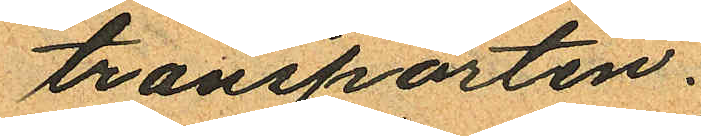transporten.
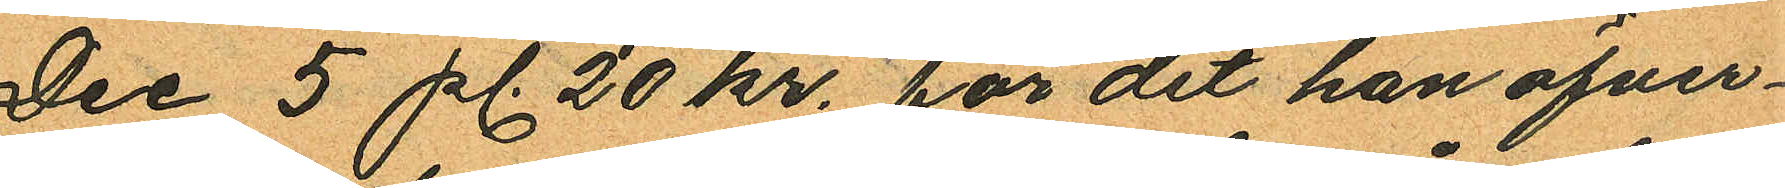Dec 5 pl. 20 kr. för det han öfver¬
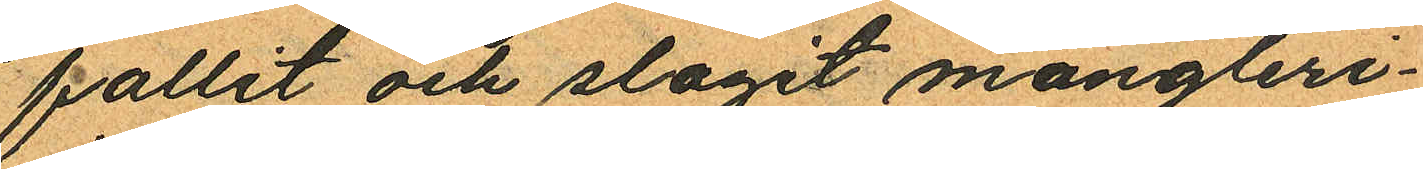fallit och slagit mångleri¬
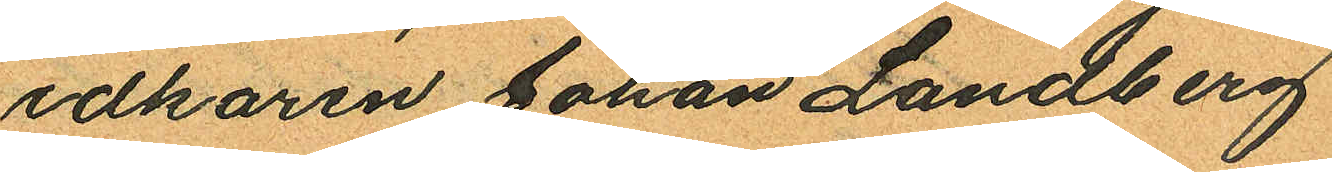idkaren Johan Landberg
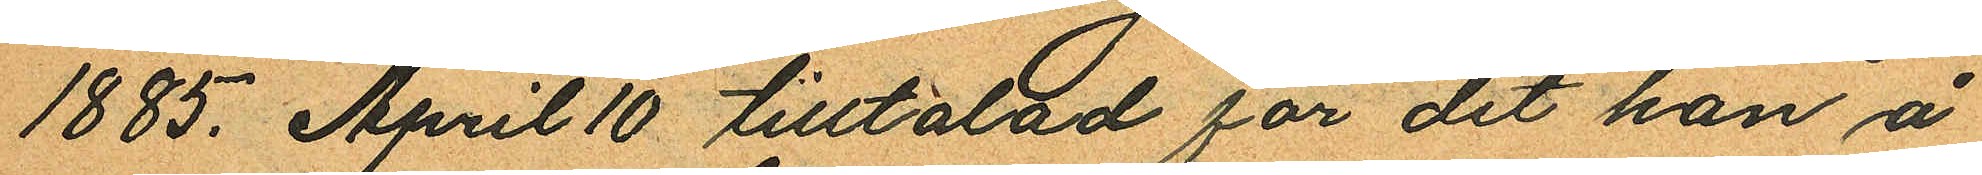1885 April 10 tilltalad för det han å
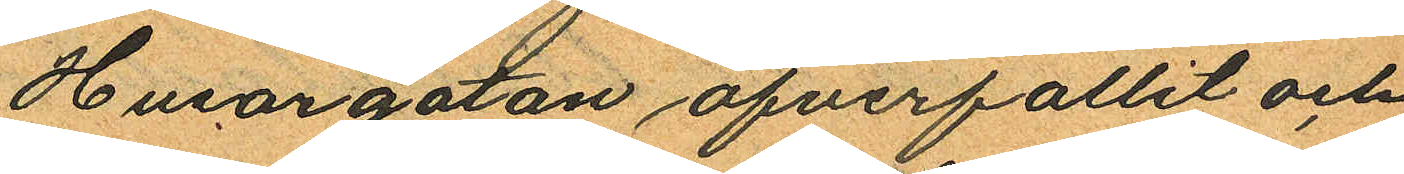Husargatan öfverfallit och
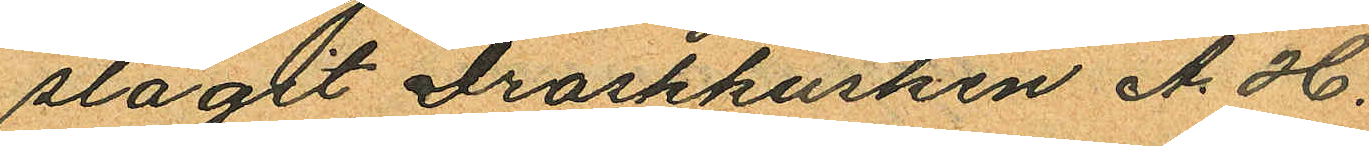slagit droskkusken A. H.
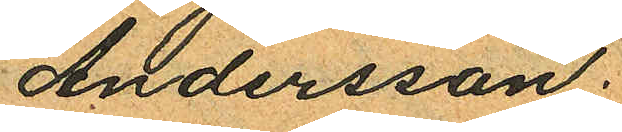Andersson.
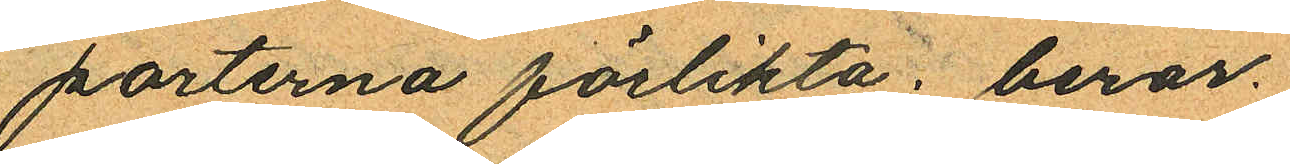parterna förlikta, beror.
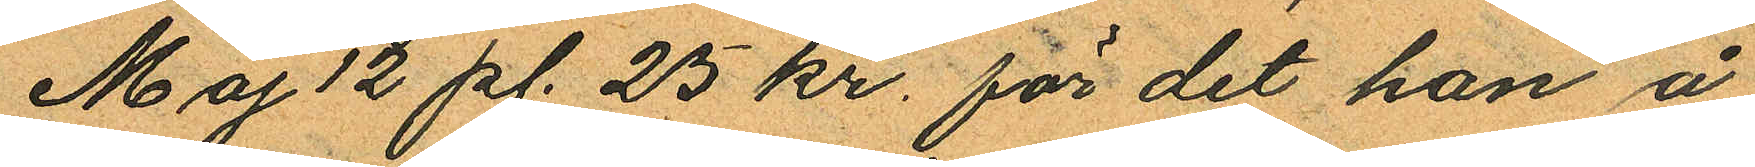Maj 12 pl. 25 kr. för det han å
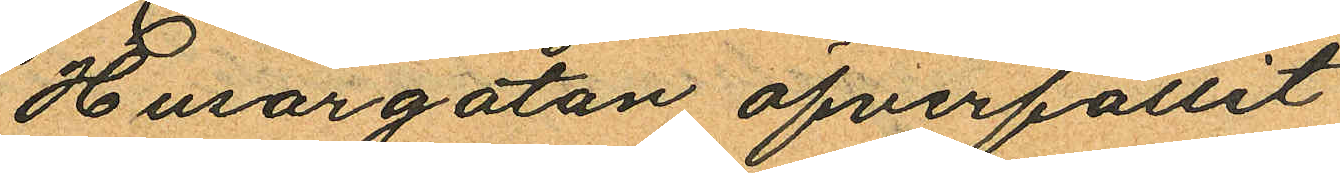Husargatan öfverfallit
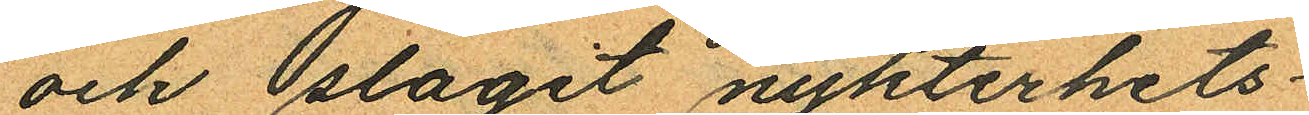och slagit nykterhets¬
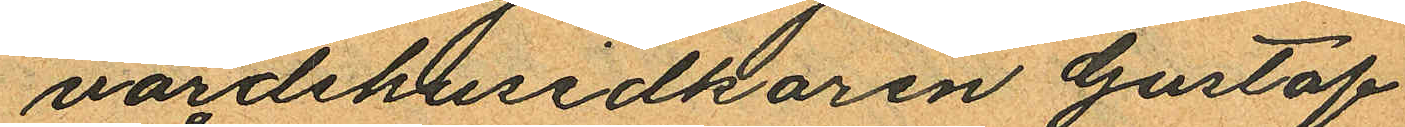värdshusidkaren Gustaf
